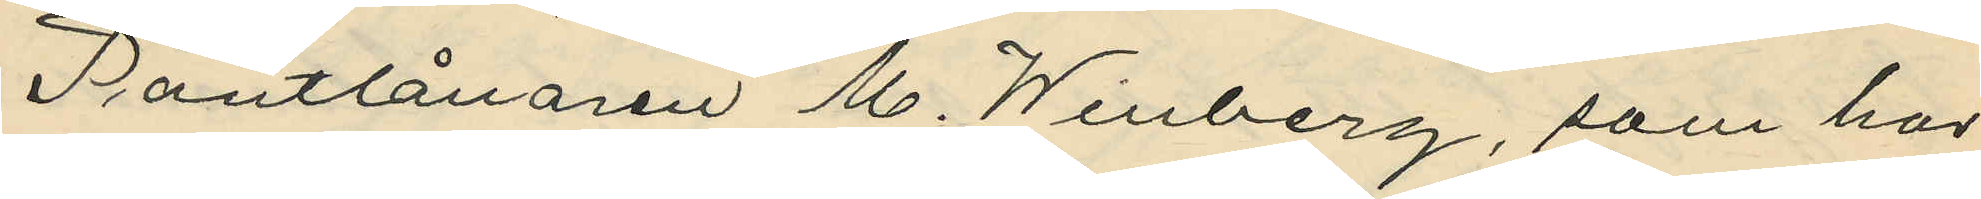Pantlånaren M. Winberg, som har
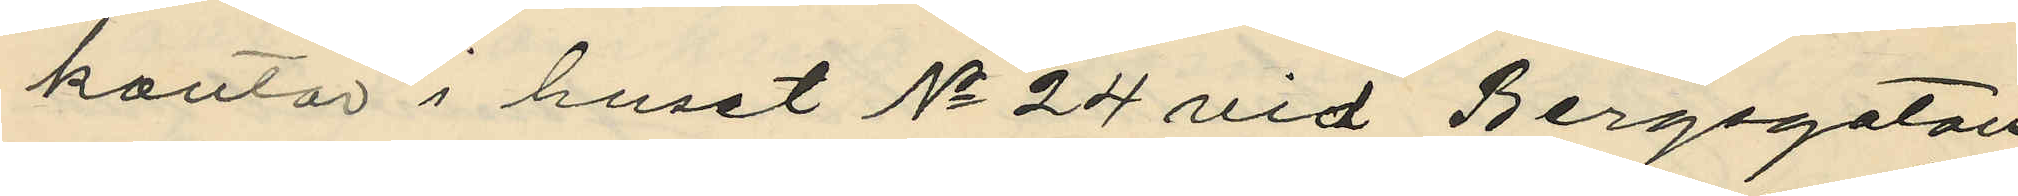kontor i huset No 24 vid Bergsgatan,
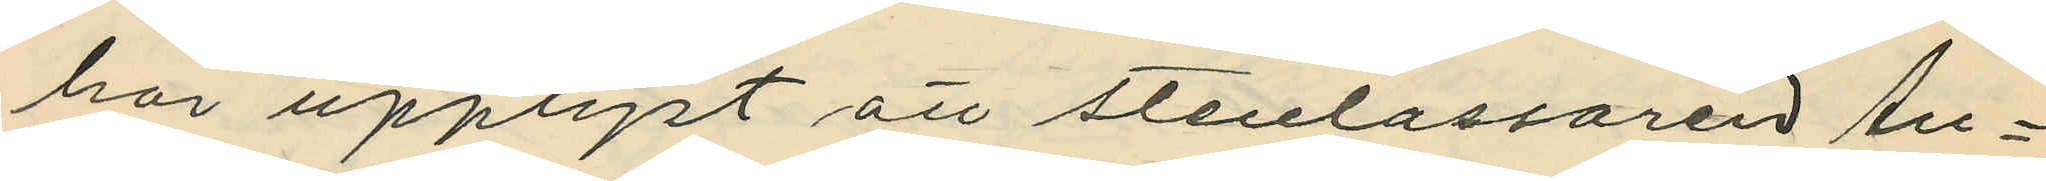har upplyst att stenlastaren An¬
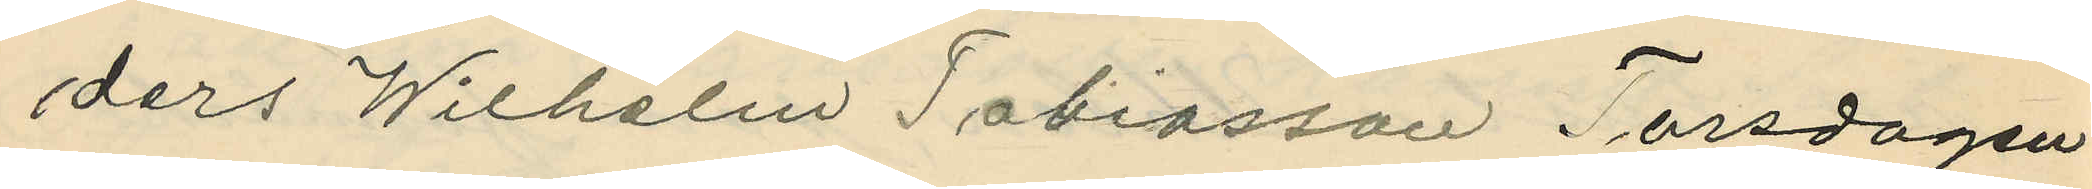ders Wilhelm Tobiasson Torsdagen
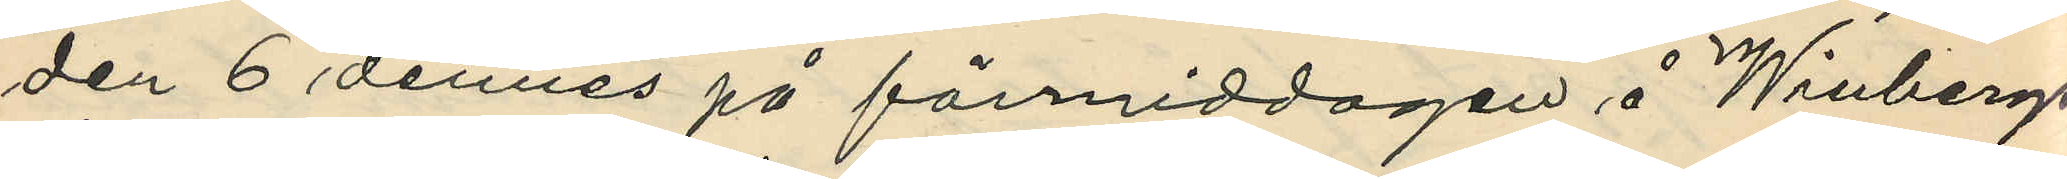den 6 dennes på förmiddagen å Winbergs
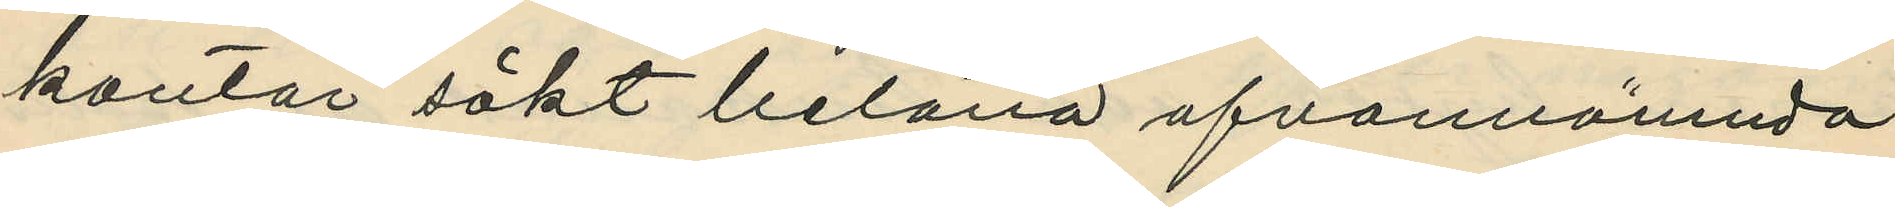kontor sökt belåna ofvannämnda
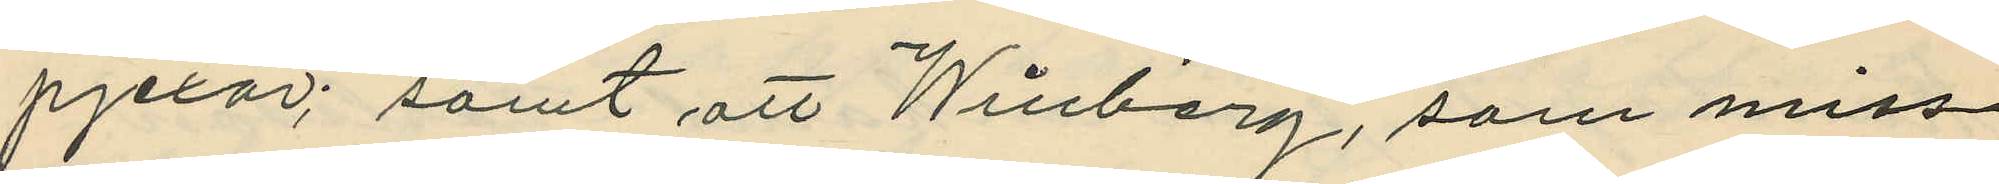pjexor; samt att Winberg, som miss¬
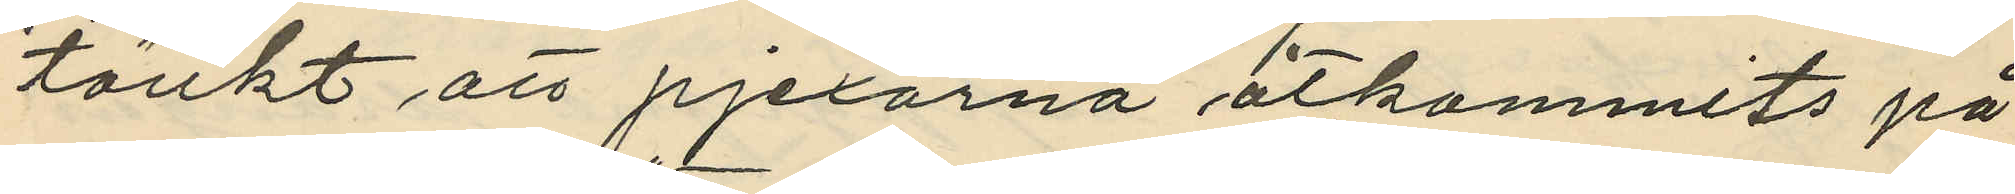tänkt att pjexorna åtkommits på
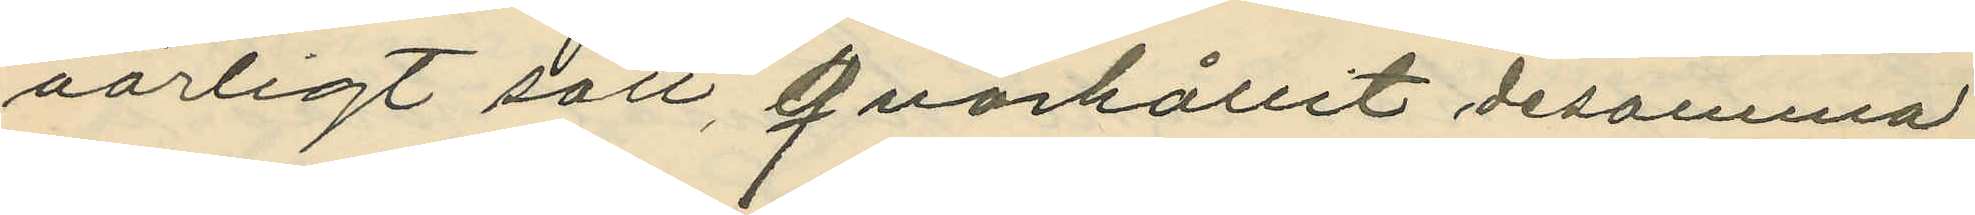oärligt sätt, qvarhållit desamma
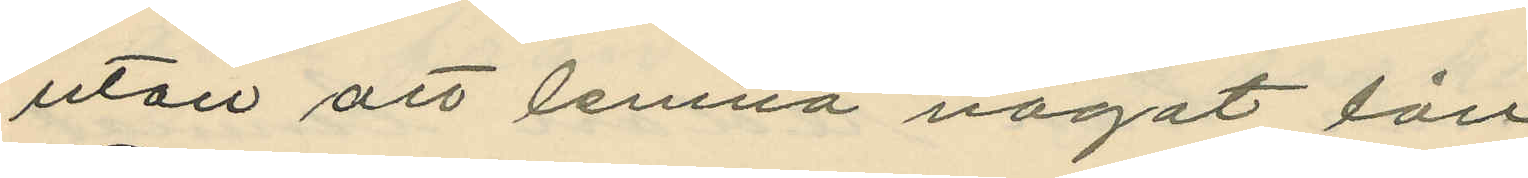utan att lemna något lån
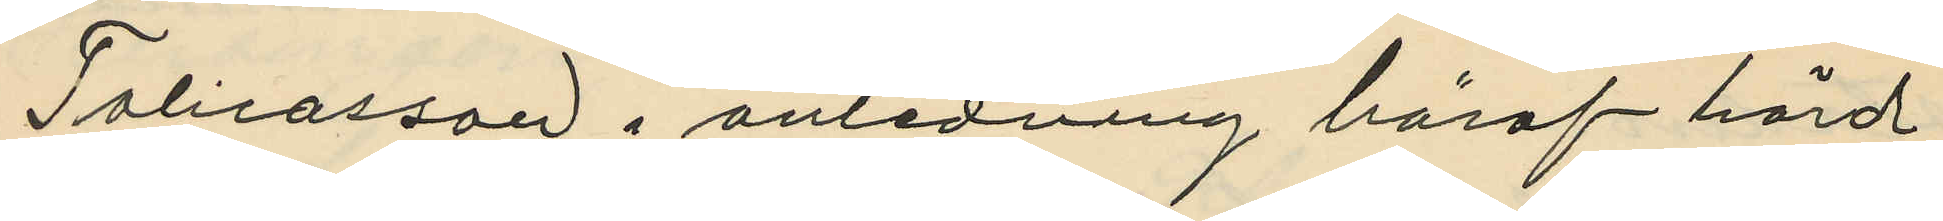Tobiasson i anledning häraf hörd
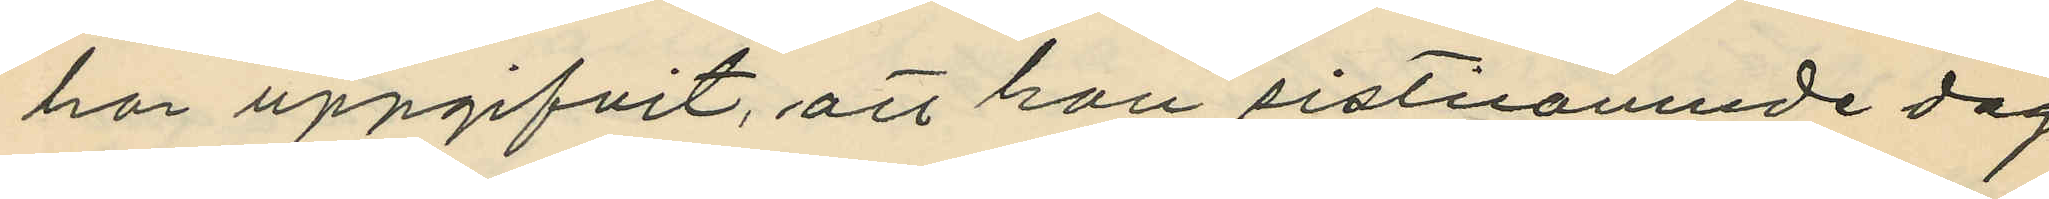har uppgifvit, att han sistnamnde dag
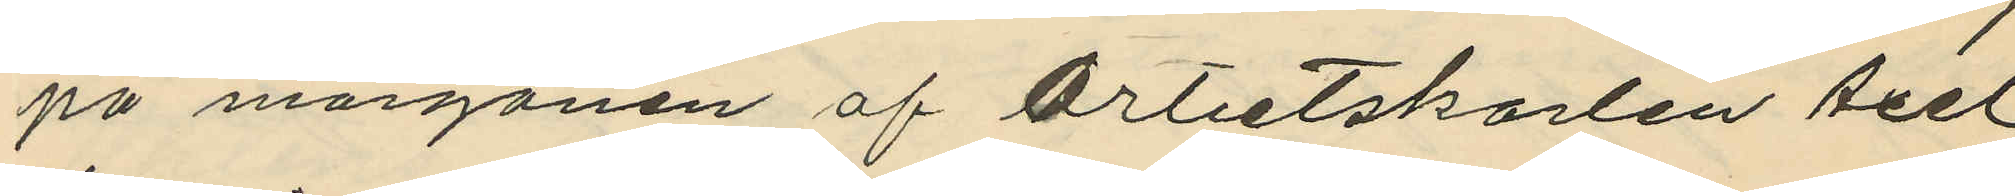på morgonen af Arbetskarlen Axel
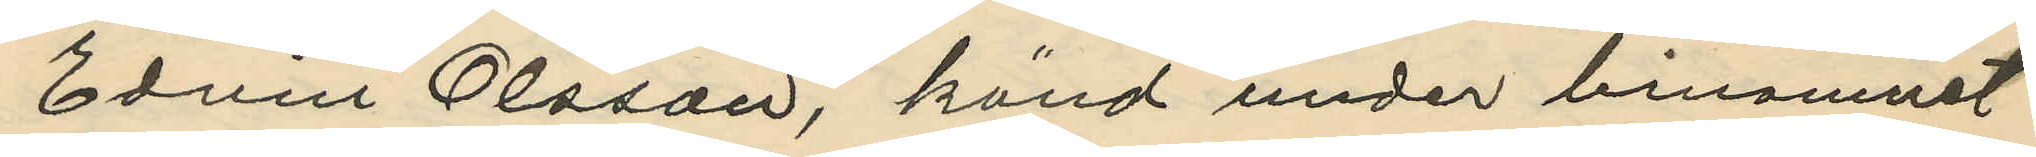Edvin Olsson, känd under binamnet
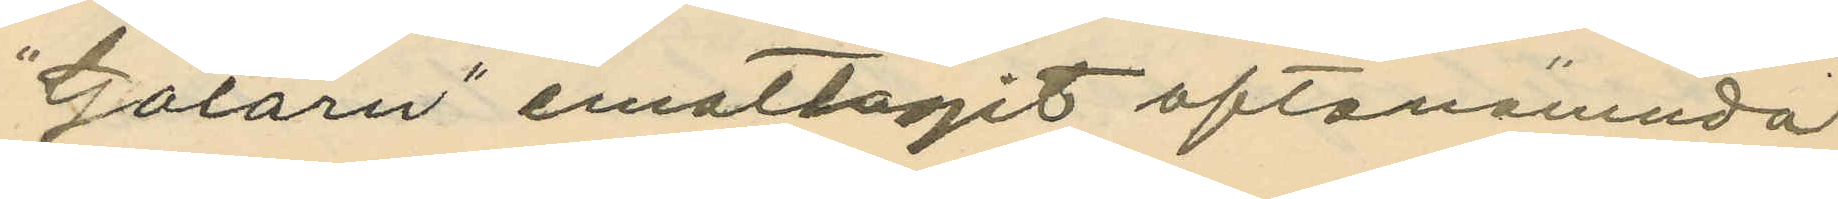"Galarn" emottagit oftanämnda
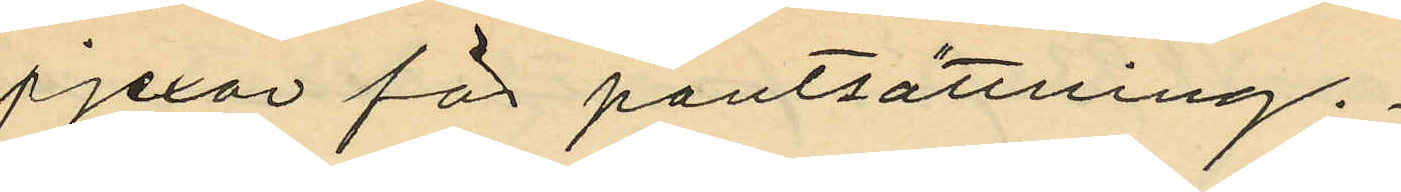pjexor för pantsättning.
